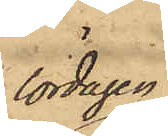lördagen
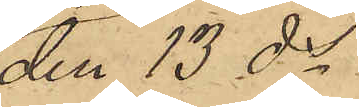den 13 ds
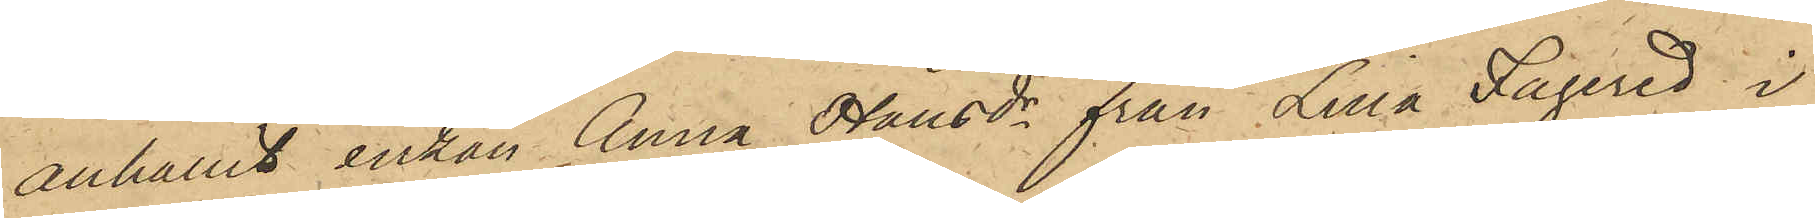anhållit enkan Anna Olausdr från Lilla Fagered i
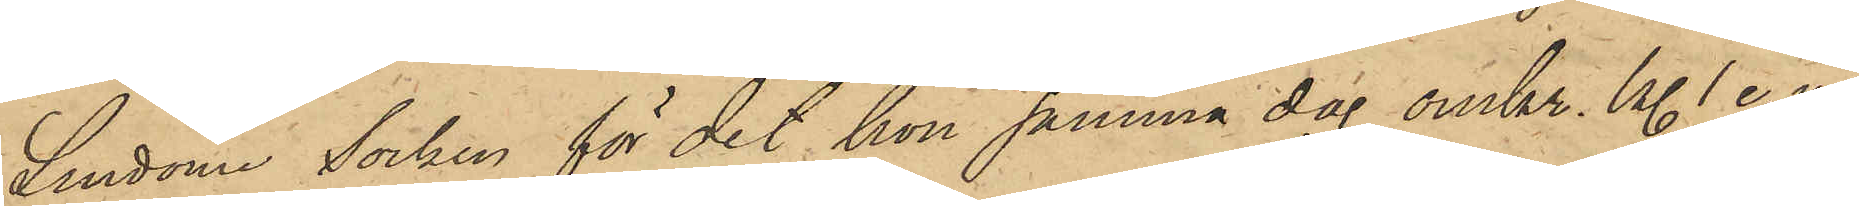Lindome Socken för det hon samma dag omkr. kl. 1 e. m.
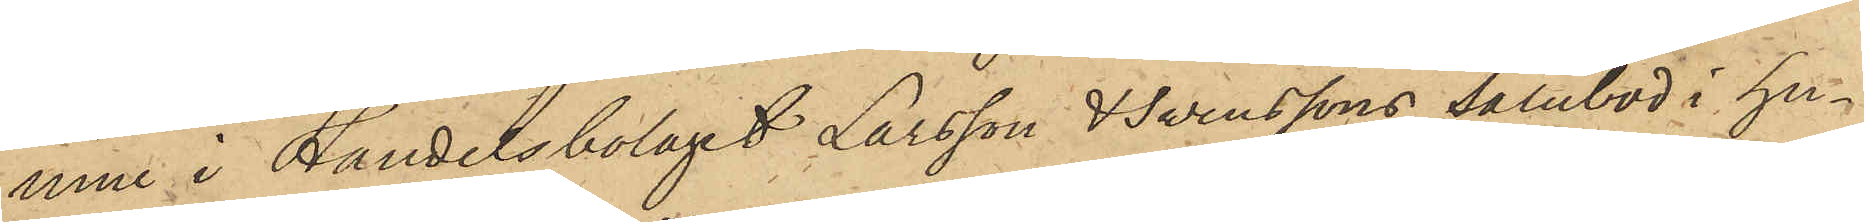inne i Handelsbolaget Larsson & Svenssons Salubod i hu¬
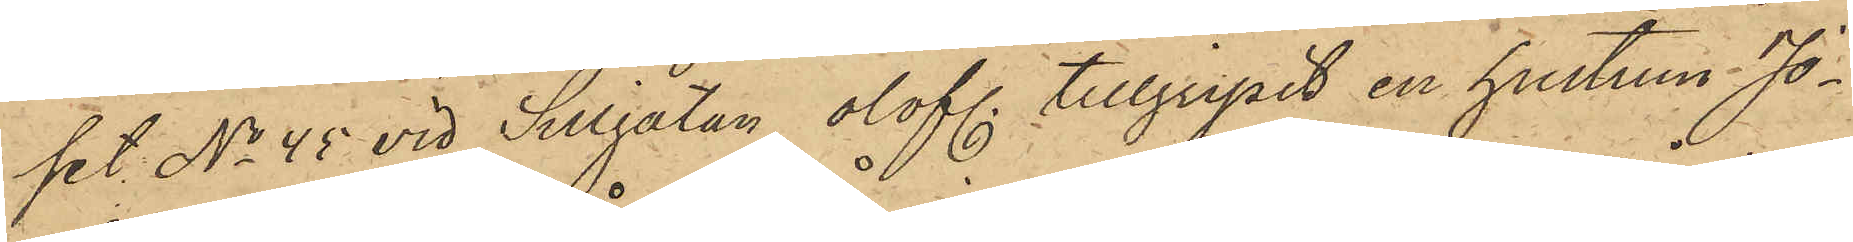set No 45 vid Sillgatan, olofl. tillgripit en hustrun Jo¬
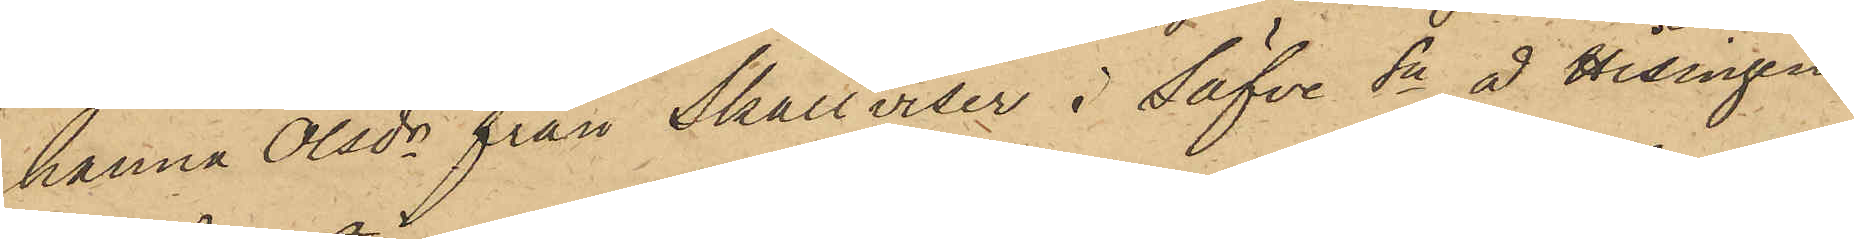hanna Olsdr från Skållviser i Säfve Sn å Hisingen
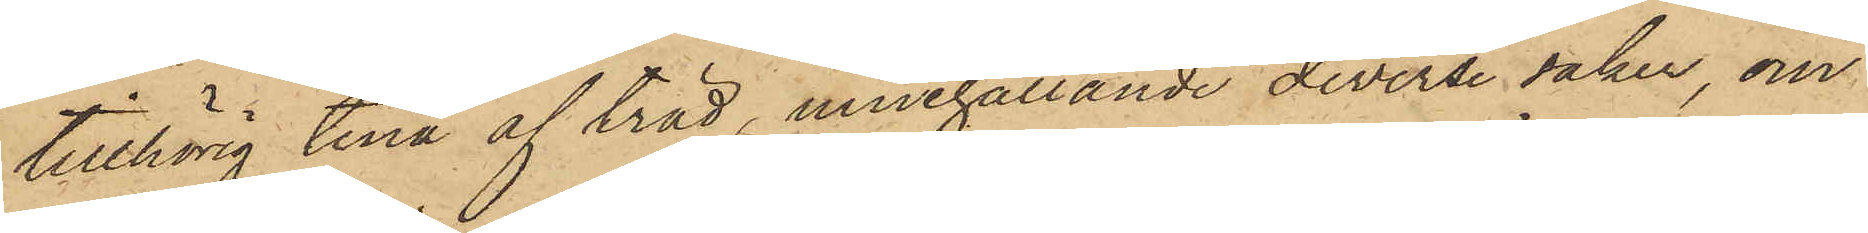tillhörig tina af träd, innehållande diverse saker, om
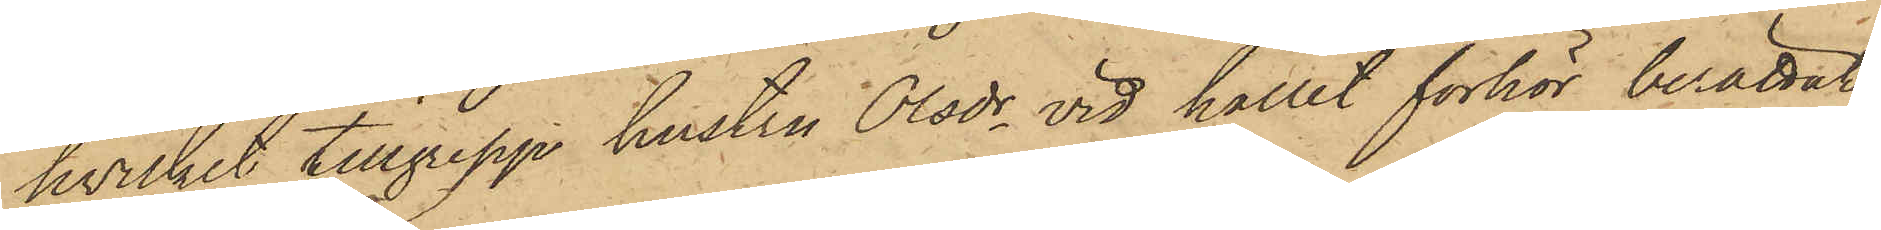hvilket tillgrepp hustru Olsdr vid hållit förhör berättat,
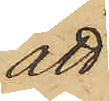att
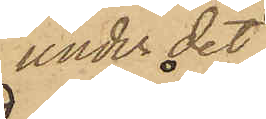under det
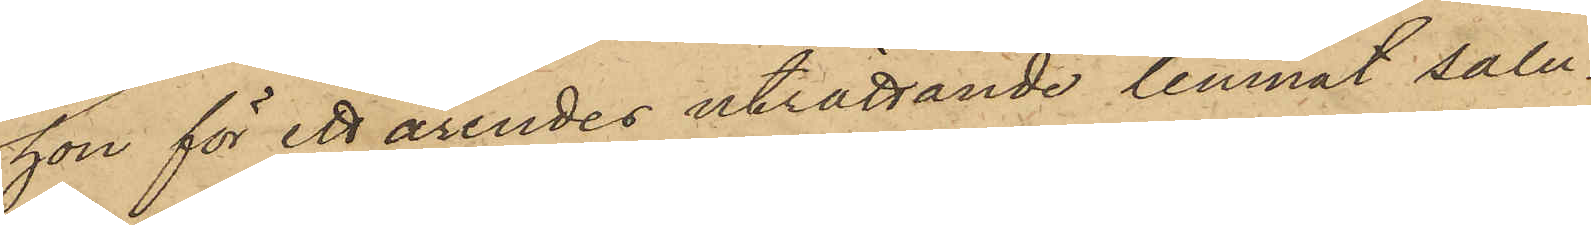hon för ett ärendes uträttande lemnat Salu¬
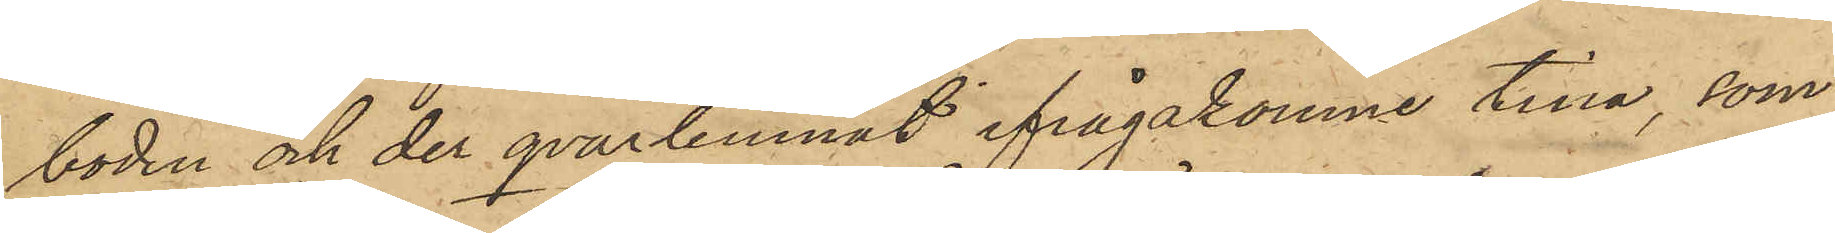boden och der qvarlemnat ifrågakomne tina, som
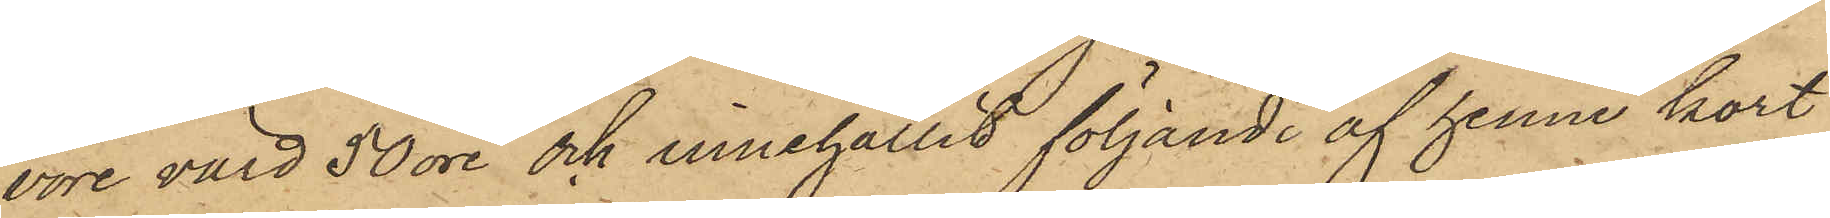vore värd 50 öre och innehållit följande af henne kort
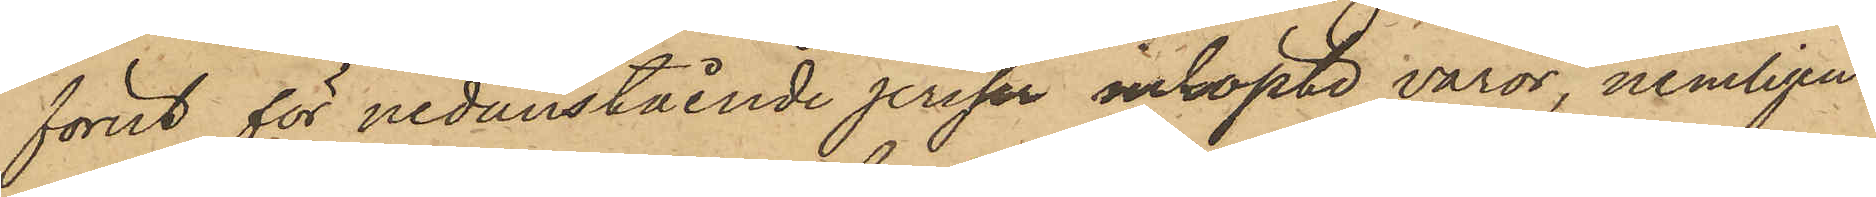förut för nedanstående priser inköpte varor, nemligen:
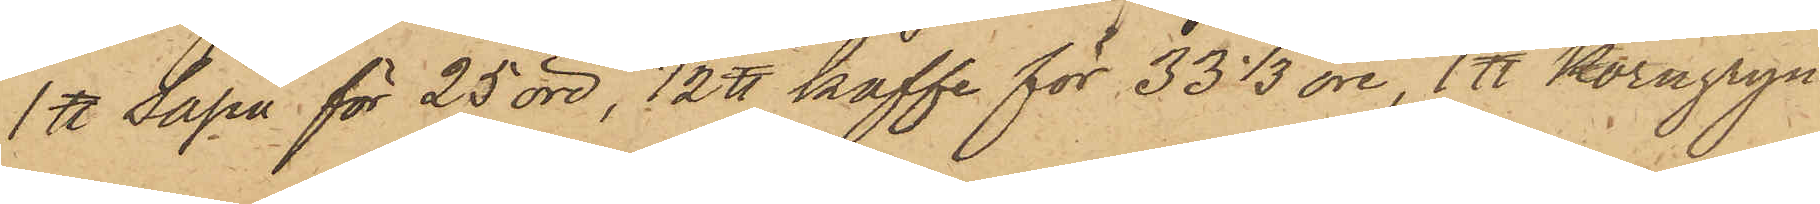1 ℔ Såpa för 25 öre, 1/2 ℔ kaffe för 33 1/3 öre, 1 ℔ Korngryn
